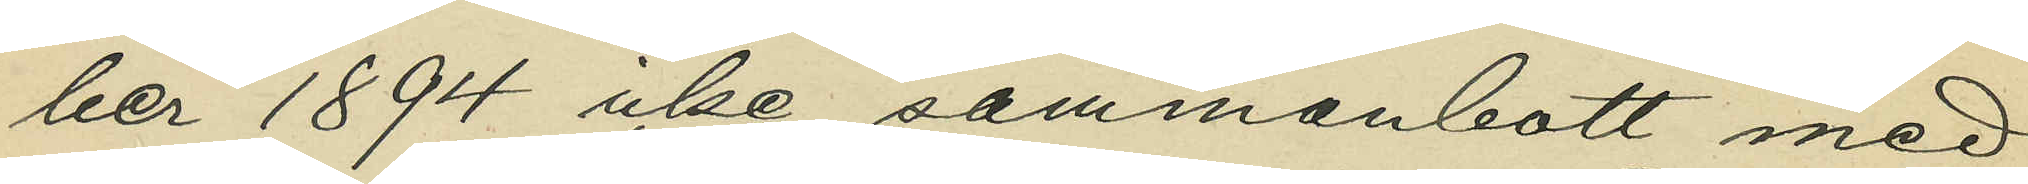ber 1894 icke sammanbott med 
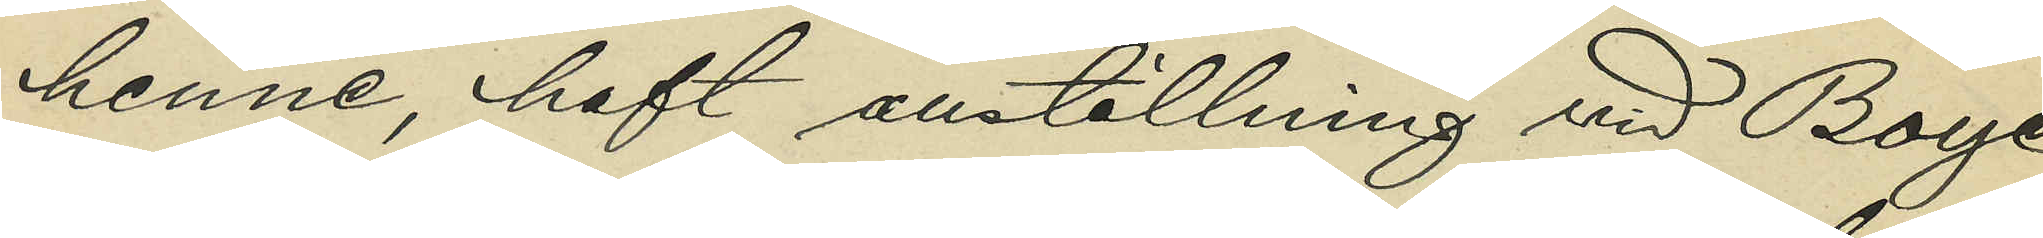henne, haft anställning vid Boye
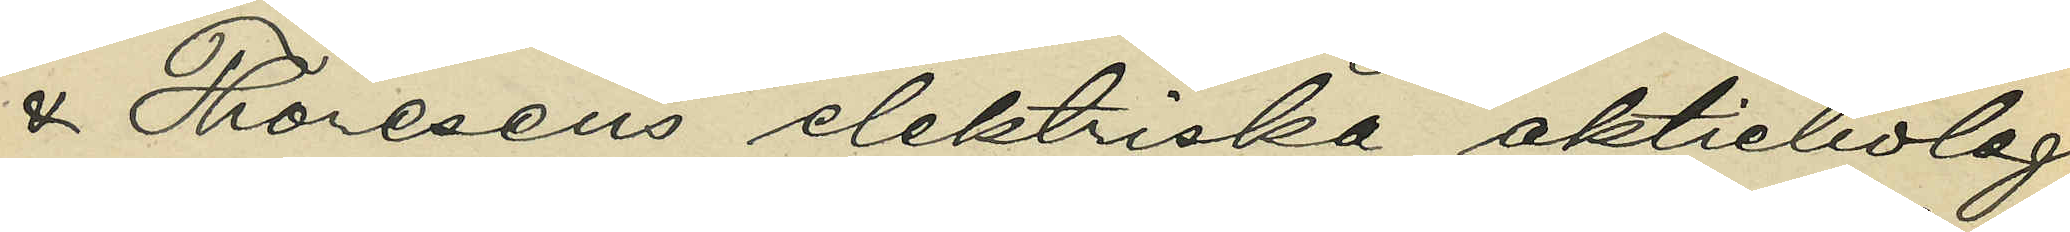& Thoresens elektriska aktiebolag
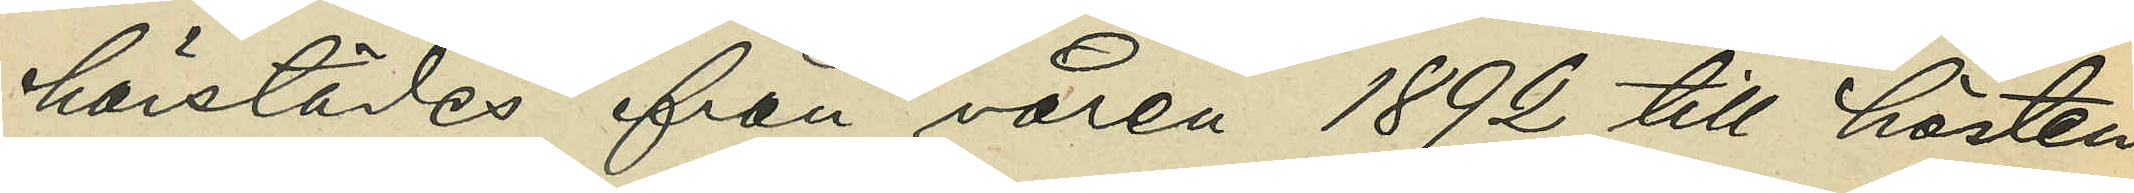härstädes från våren 1892 till hösten
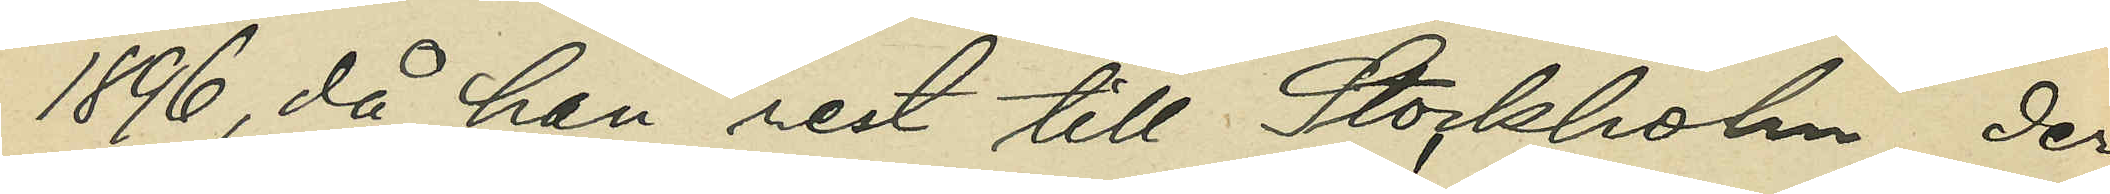1896, då han rest till Stockholm der
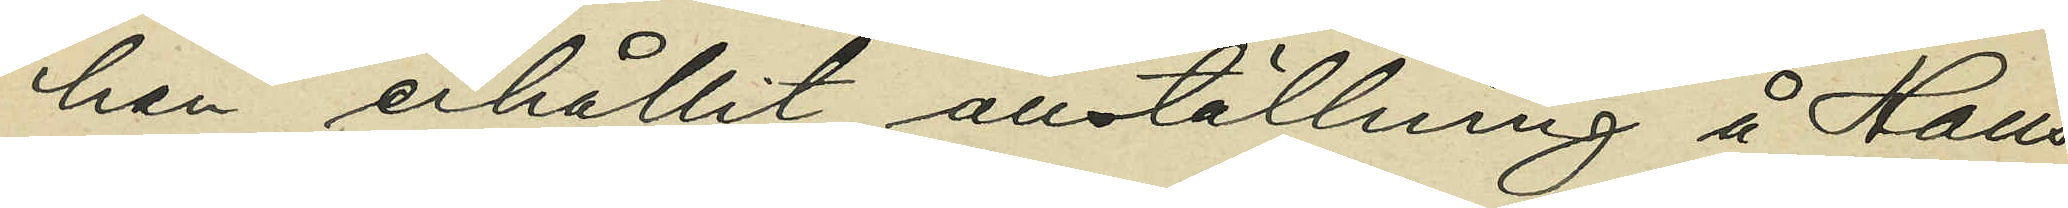han erhållit anställning å Hans
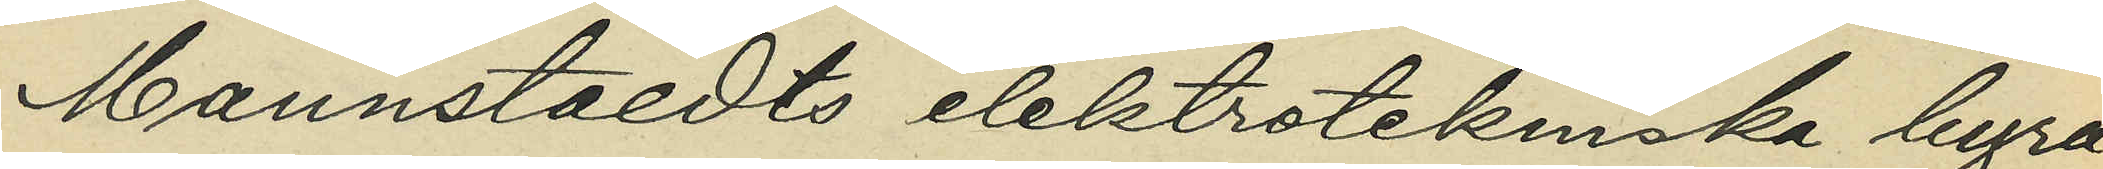Mannstaedts elektrotekniska byrå;
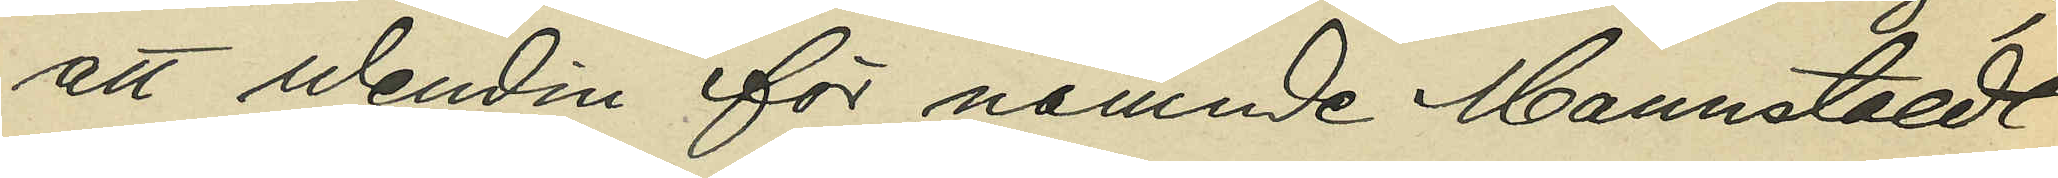att Wendin för nämnde Mannstaedt
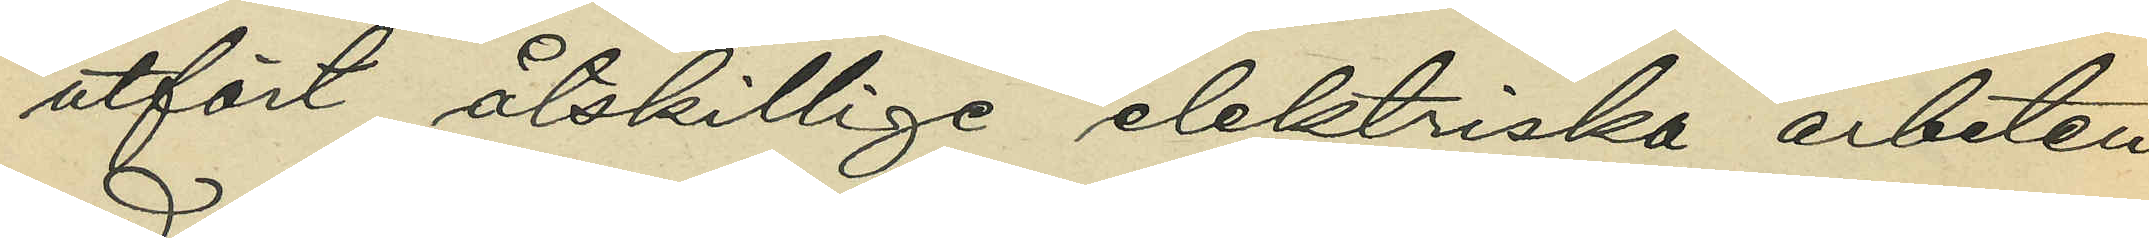utfört åtskilliga elektriska arbeten
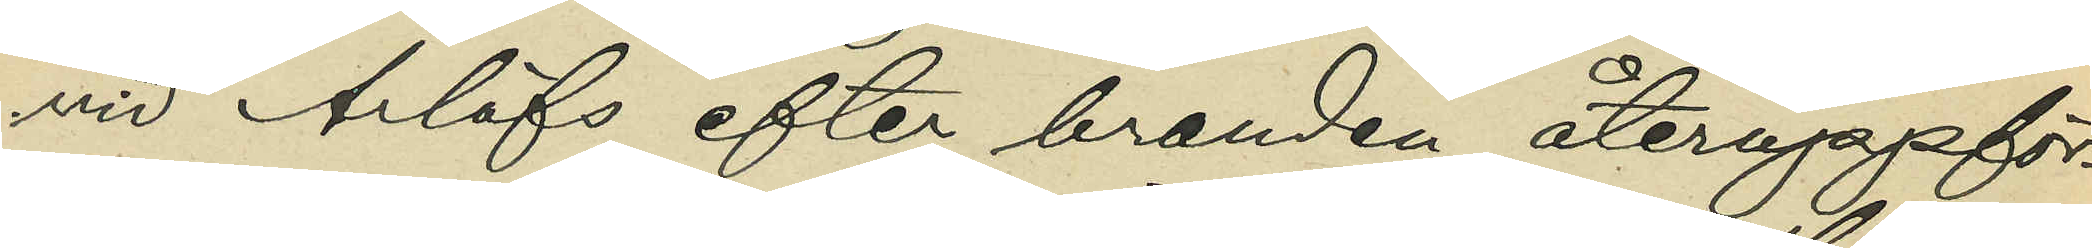vid Arlöfs efter branden återuppför¬
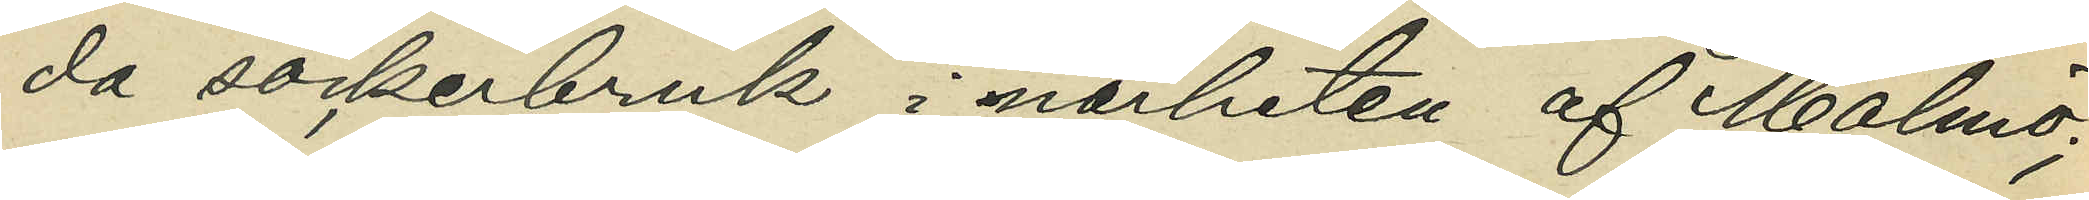da sockerbruk i närheten af Malmö;
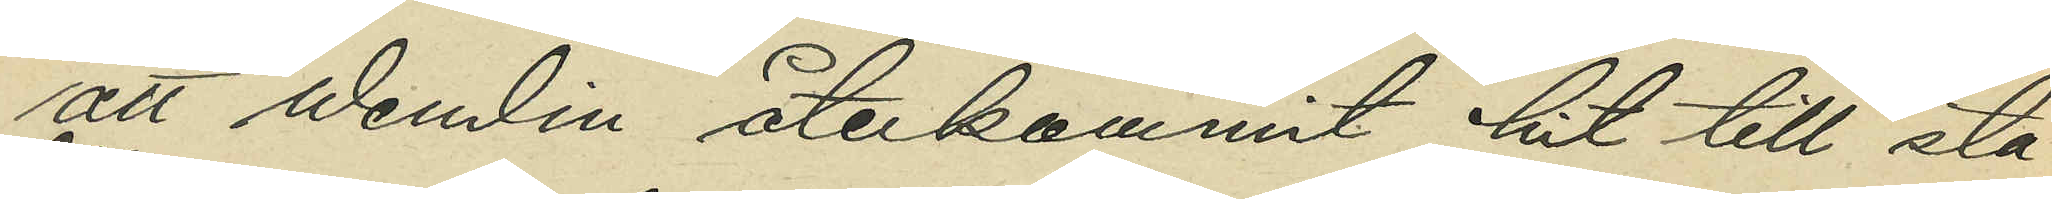att Wendin återkommit hit till sta¬
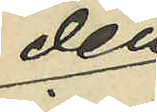den
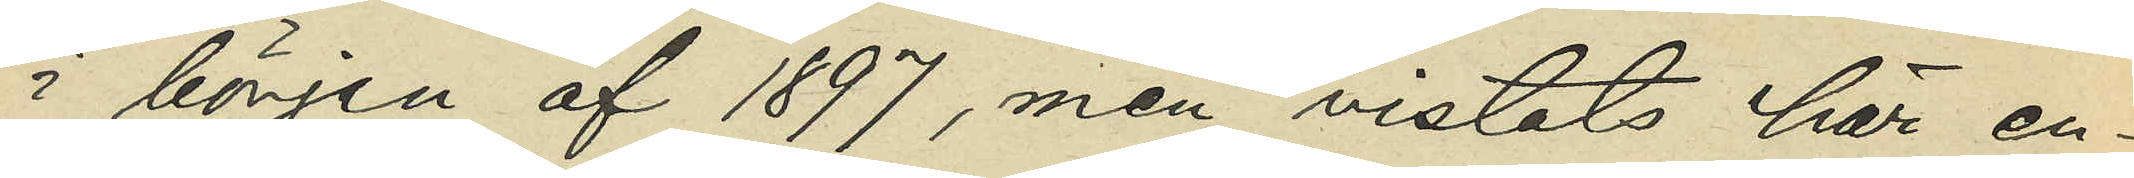i början af 1897, men vistats här en¬
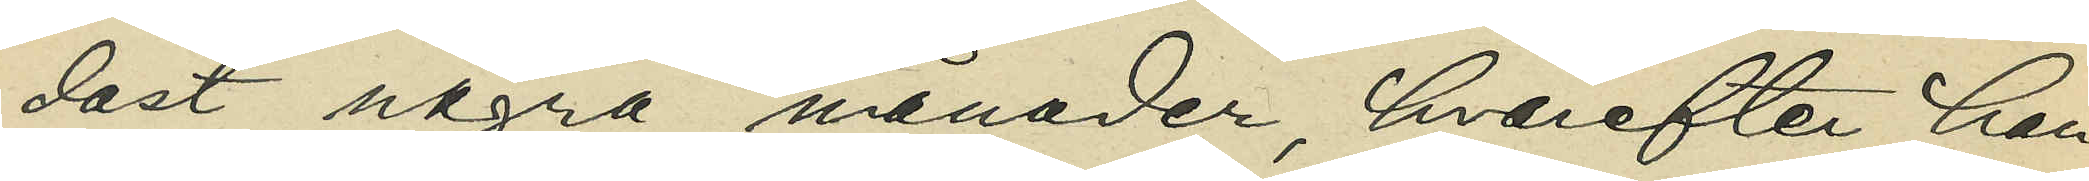dast några månader, hvarefter han
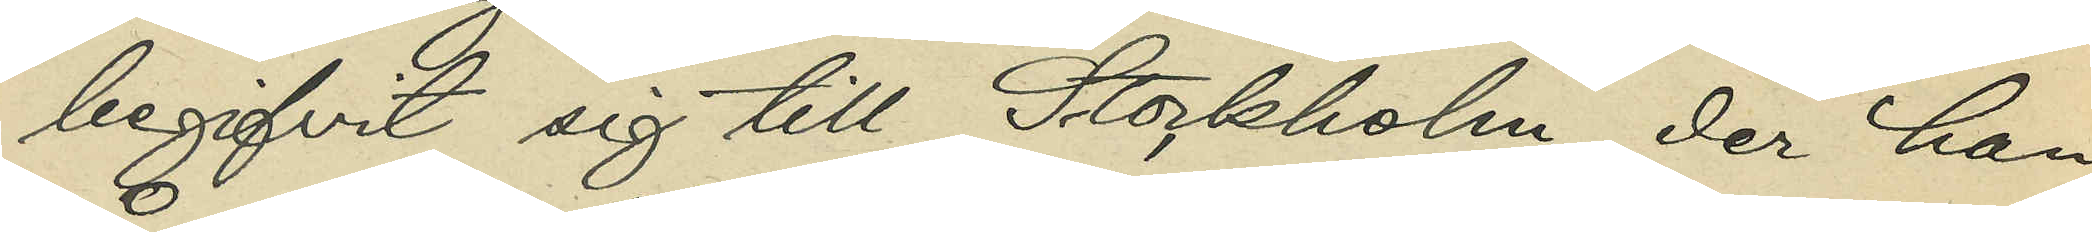begifvit sig till Stockholm, der han
